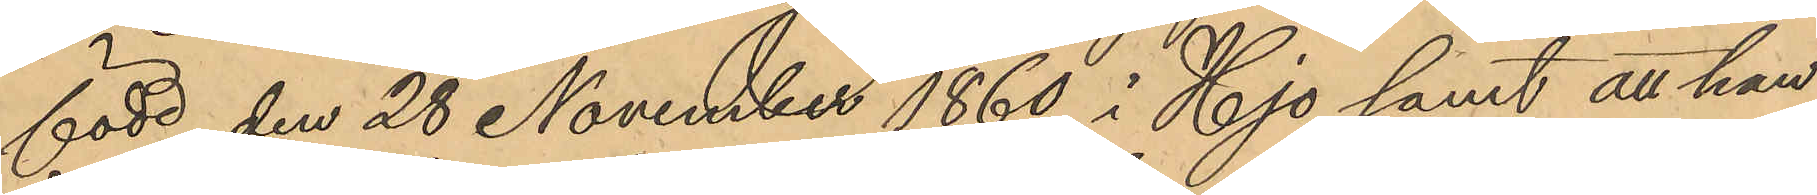född den 28 November 1860 i Hjo samt att han
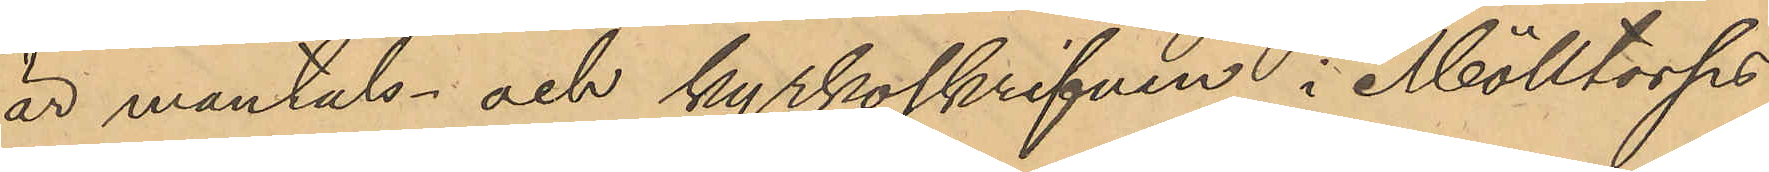är mantals- och kyrkoskrifven i Mölltorps
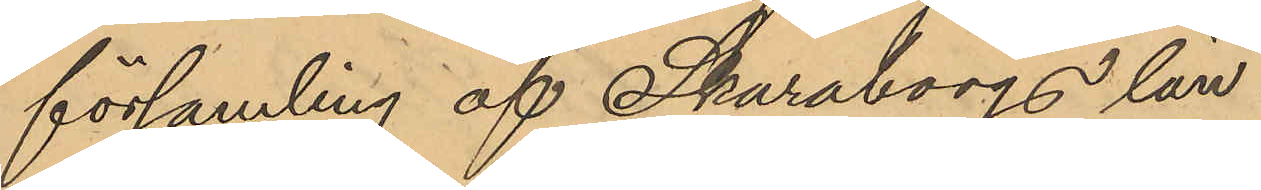församling af Skaraborgs län.
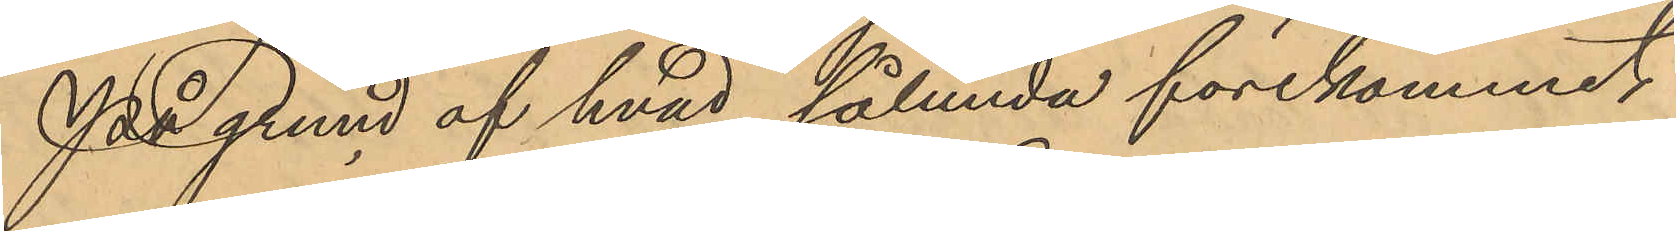På grund af hvad sålunda förekommit
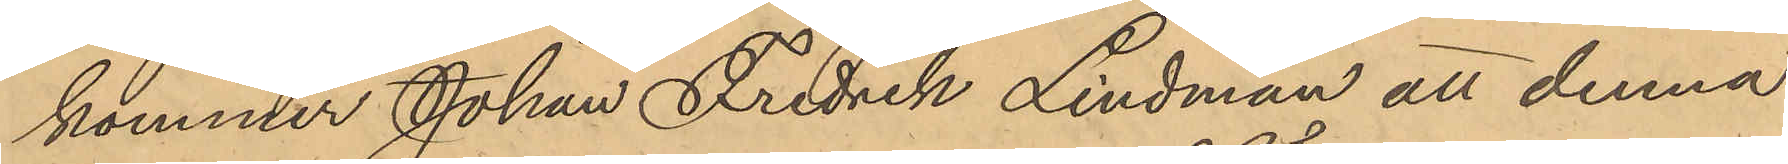kommer Johan Fredrik Lindman att denna
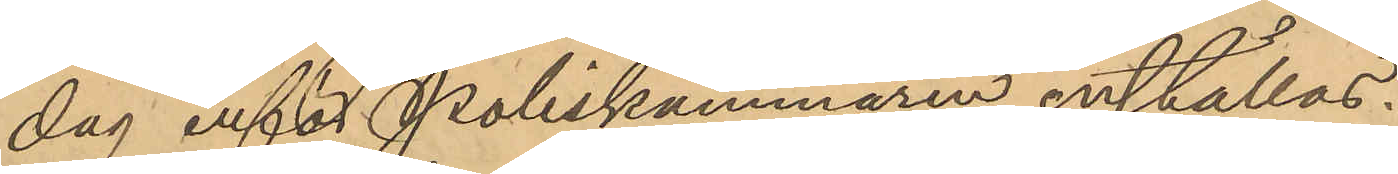dag inför Poliskammaren inställas.
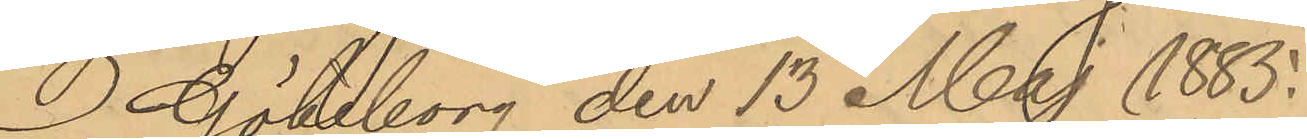Göteborg den 13 Maj 1885.
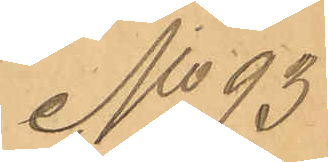No 93
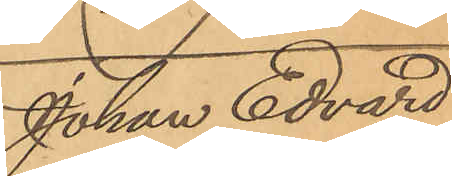Johan Edvard
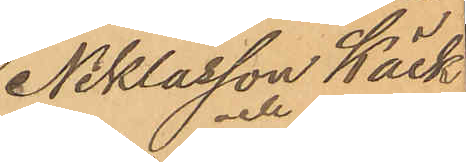Niklasson Käck och
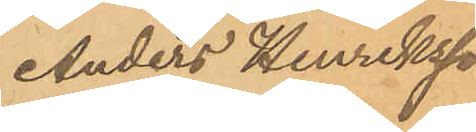Anders Henriksson
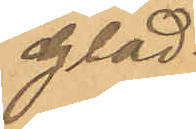Glad.
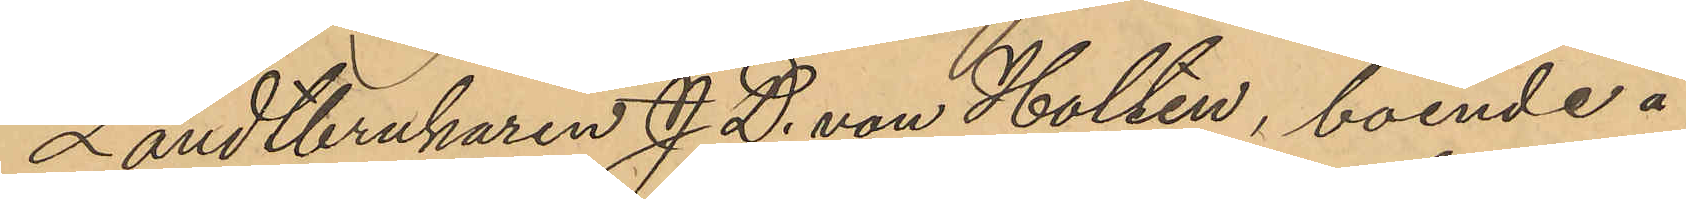Landtbrukaren J. D. von Holten, boende å
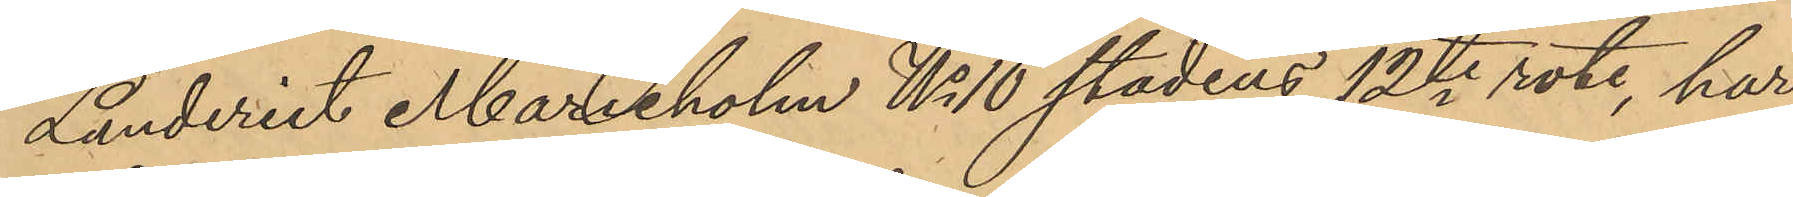Landeriet Marieholm No 10 stadens 12te rote, har
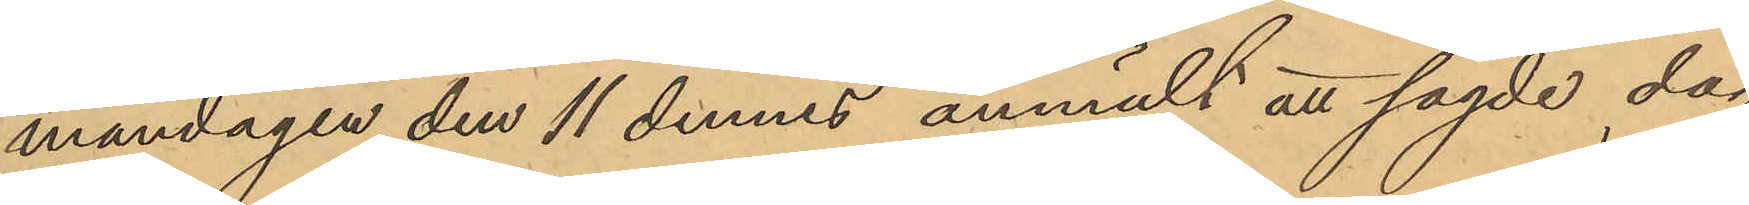måndagen den 11 dennes anmält att sagde dag
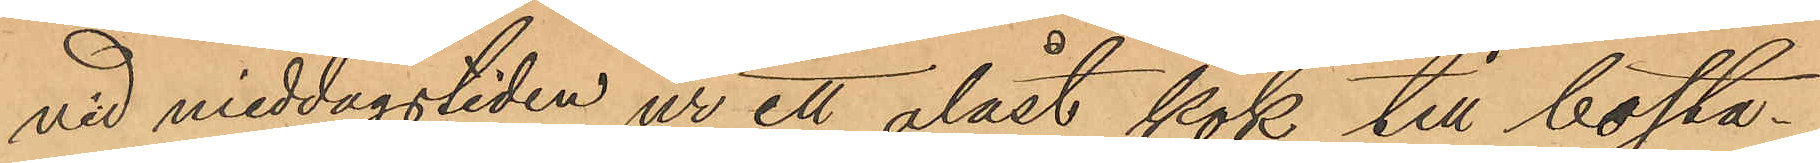vid middagstiden ur ett olåst kök till bosta¬
